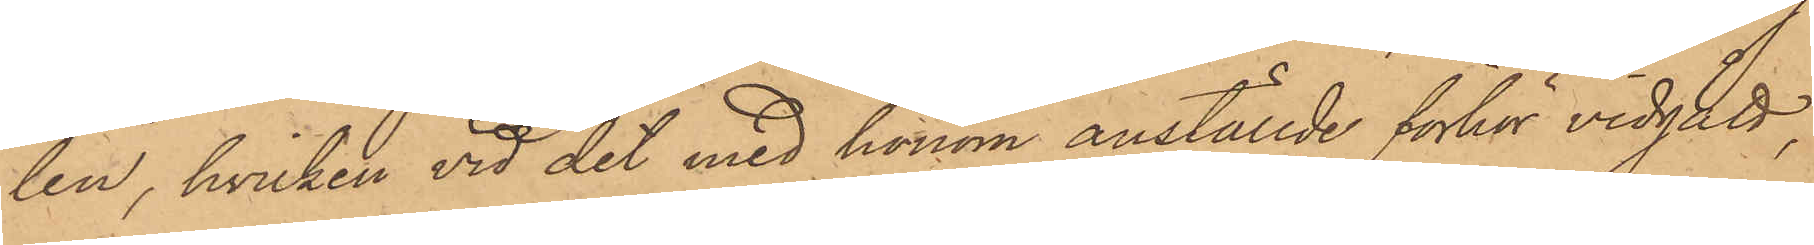len, hvilken vid det med honom anställde förhör vidgått,
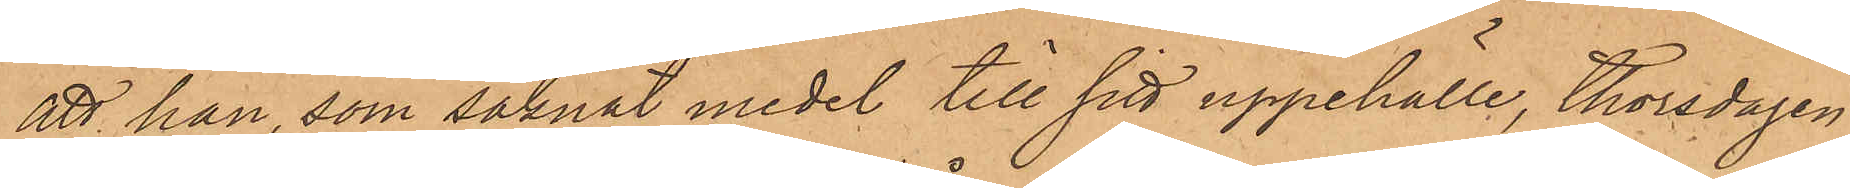att han, som saknat medel till sitt uppehälle, Thorsdagen
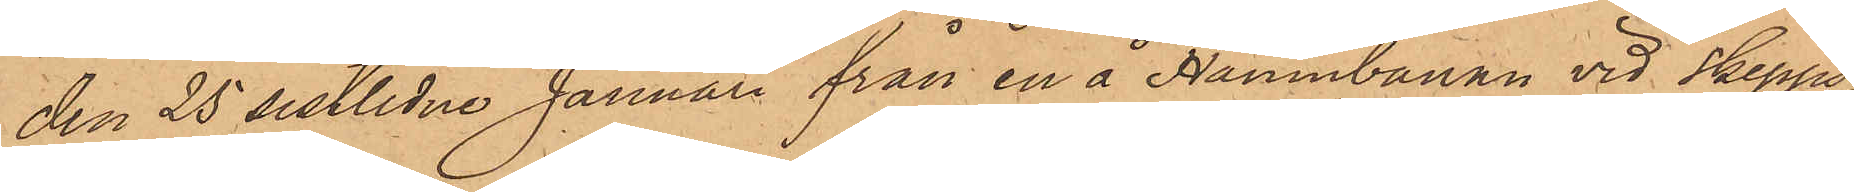den 25 sistlidne Januari från en å Hamnbanan vid Skepps¬
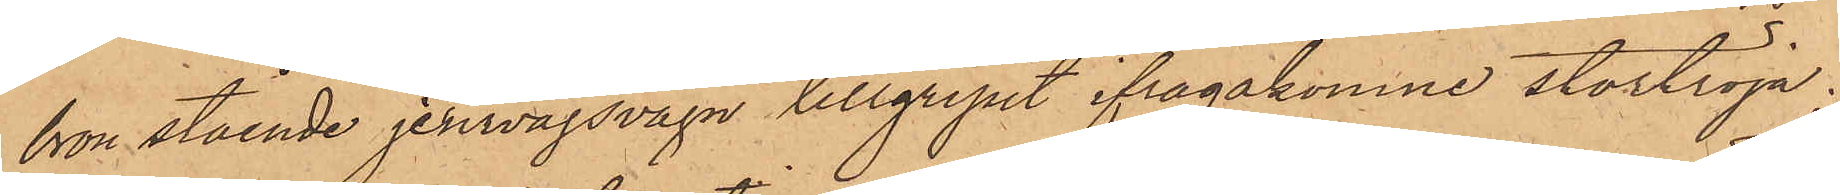bron stående jernvägsvagn tillgripit ifrågakomne stortröja;
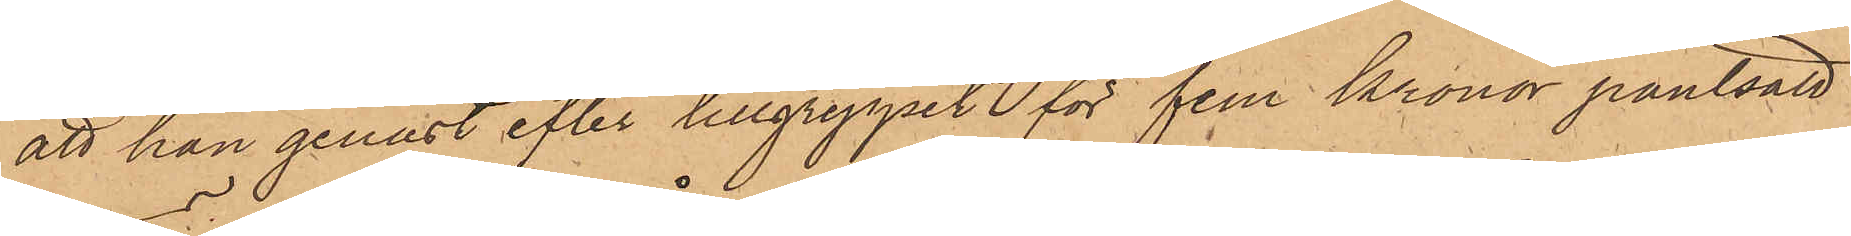att han genast efter tillgreppet för fem kronor pantsatt
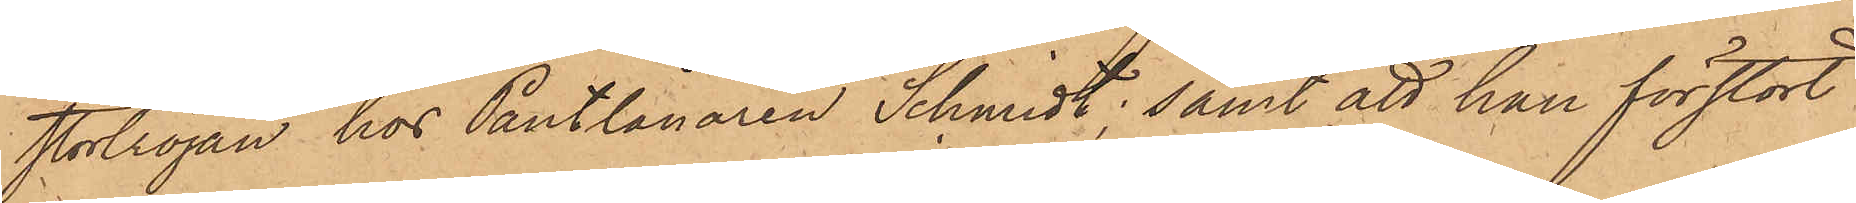stortröjan hos Pantlånaren Schmidt; samt att han förstört
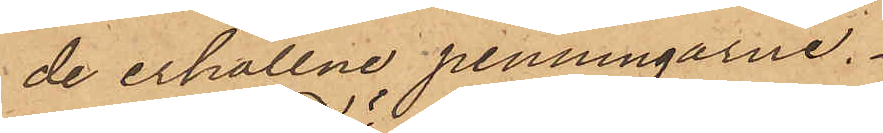de erhållne penningarne.
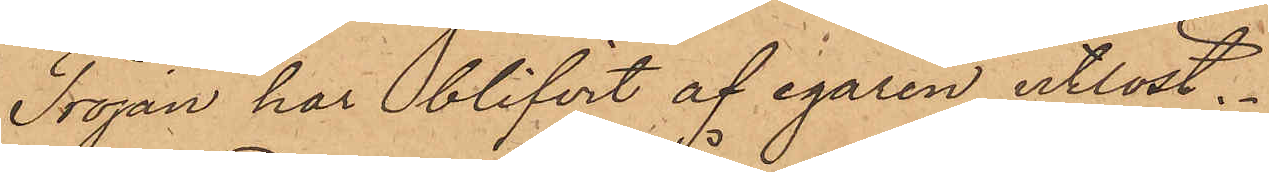Tröjan har blifvit af egaren utlöst.
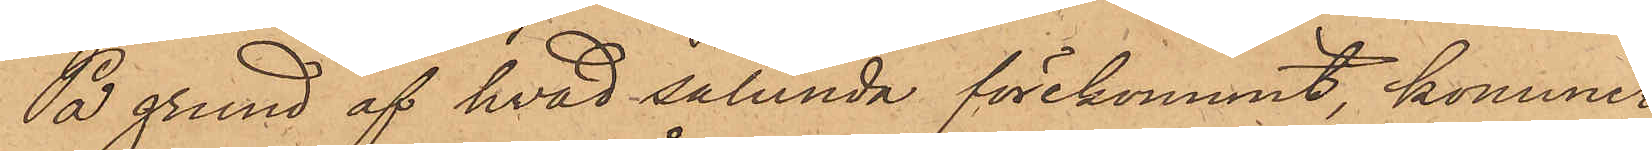På grund af hvad sålunda förekommit, kommer
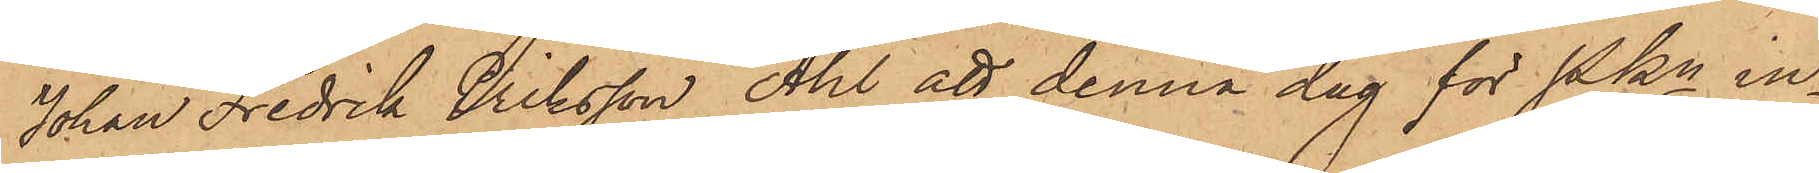Johan Fredrik Eriksson Åhl att denna dag för Pkn in¬
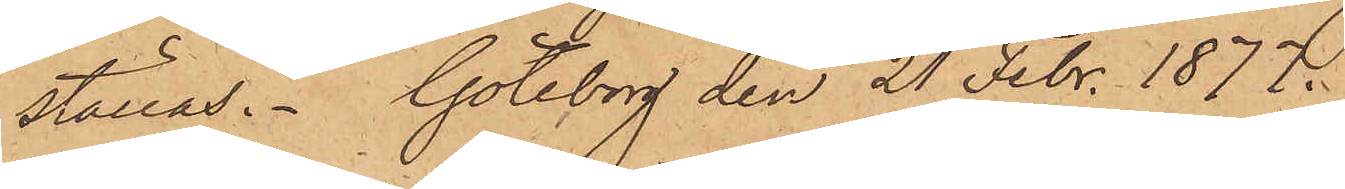ställas. Göteborg den 21 Febr. 1877.
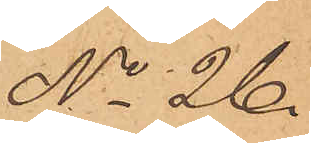No 26.
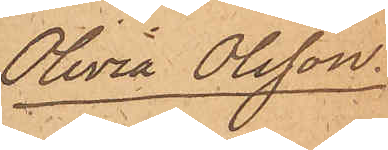Olivia Olsson.
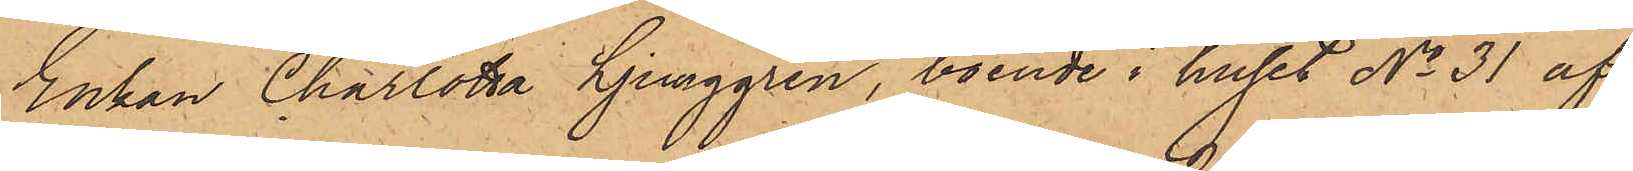Enkan Charlotta Ljunggren, boende i huset No 31 af
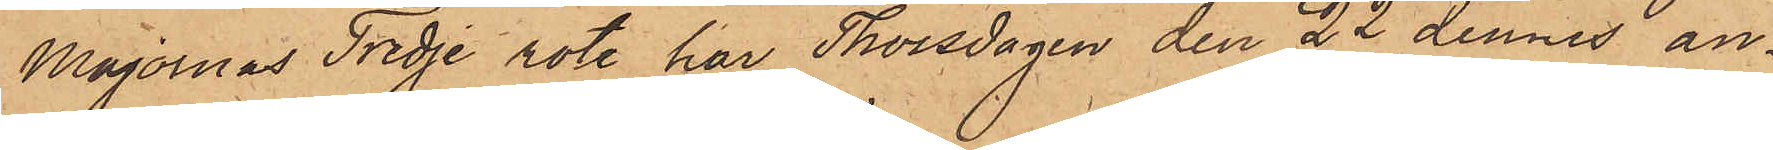Majornas Tredje rote, har Thorsdagen den 22 dennes an¬
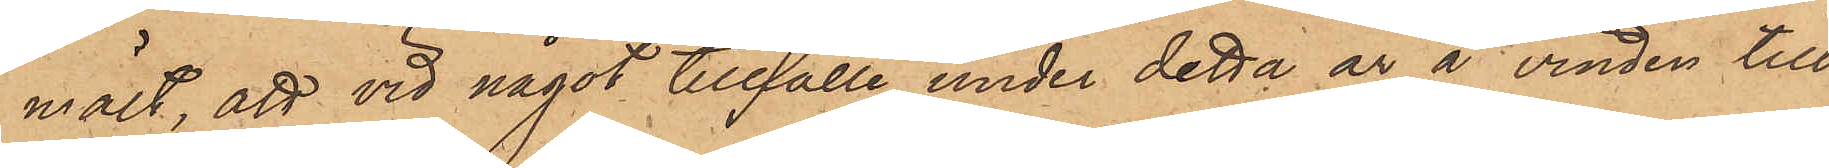mält, att vid något tillfälle under detta år å vinden till
